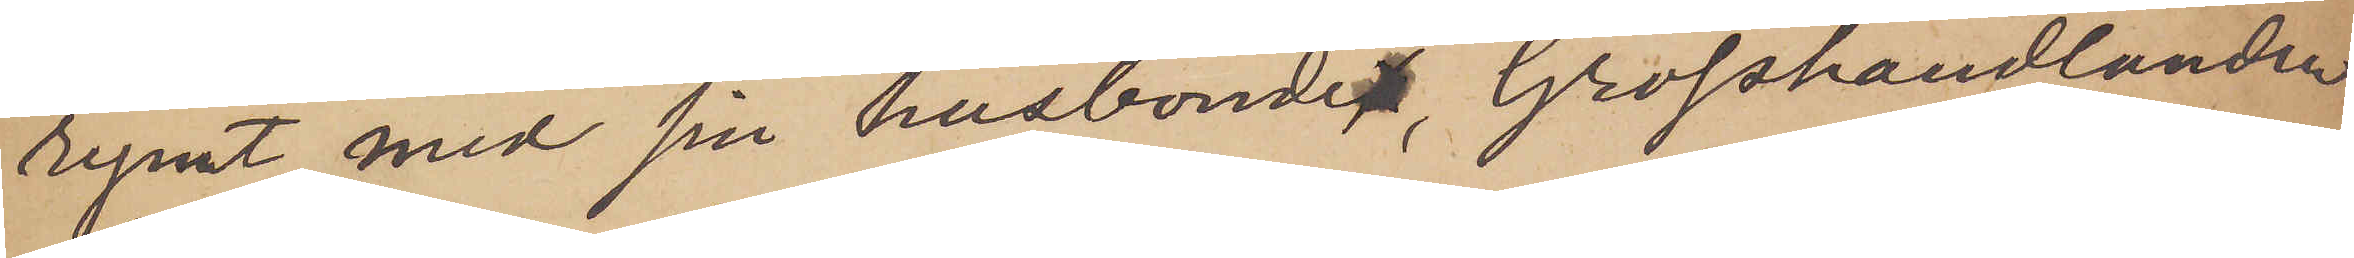rymt med sin husbondes, Grosshandlanden
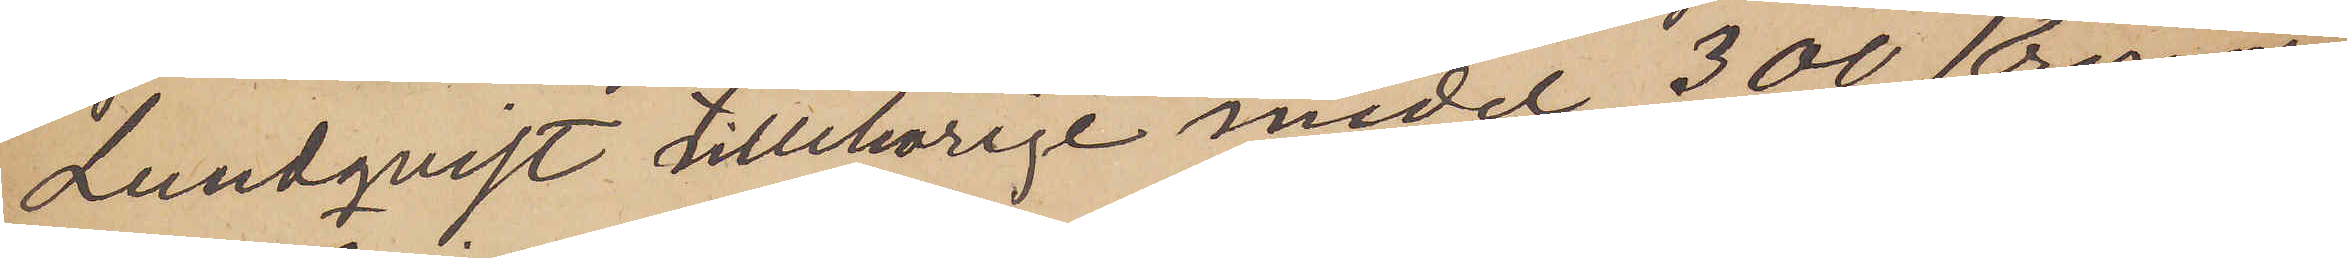Lundqvist tillhörige medel 300 Kronor,
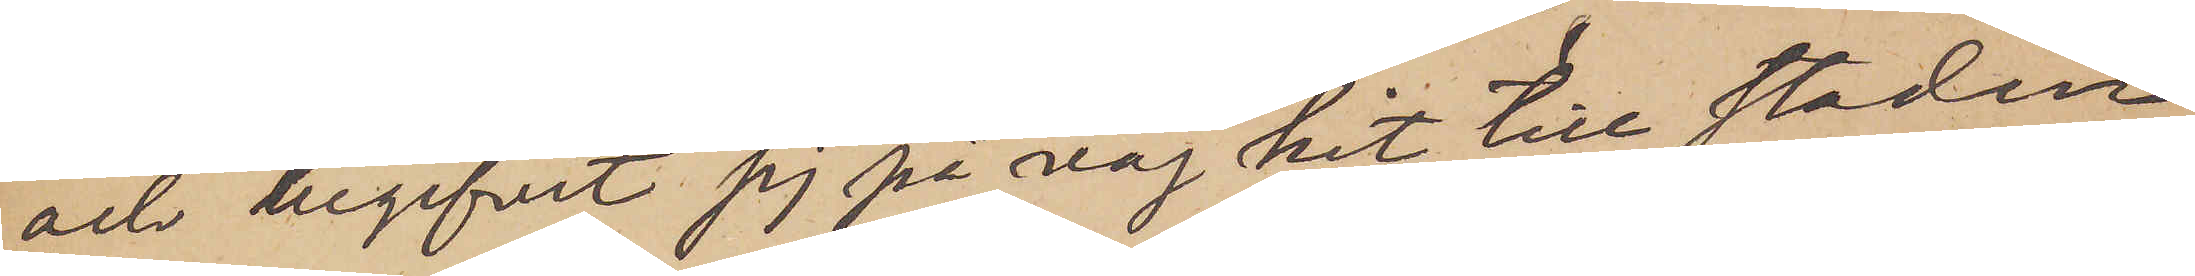och begifvit sig på väg hit till staden
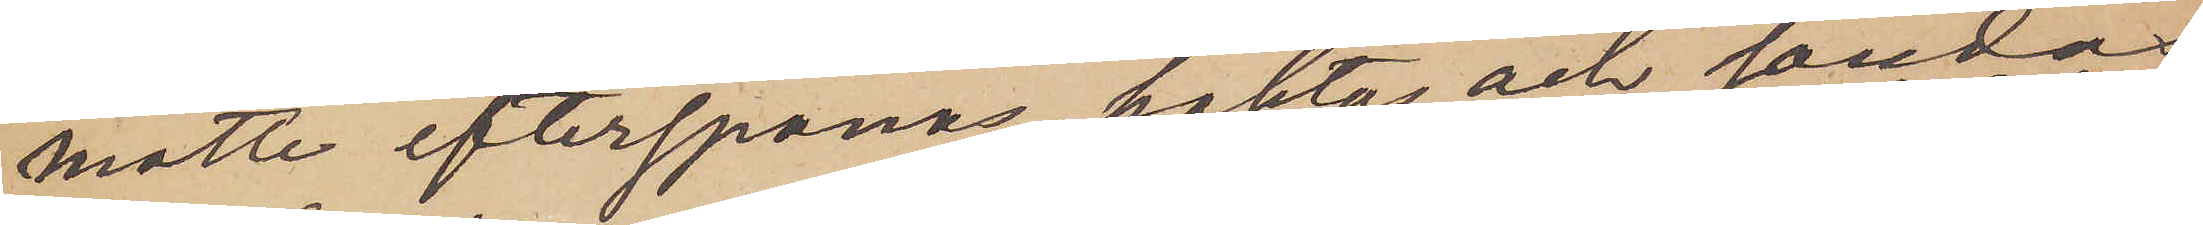måtte efterspanas, häktas och sändas
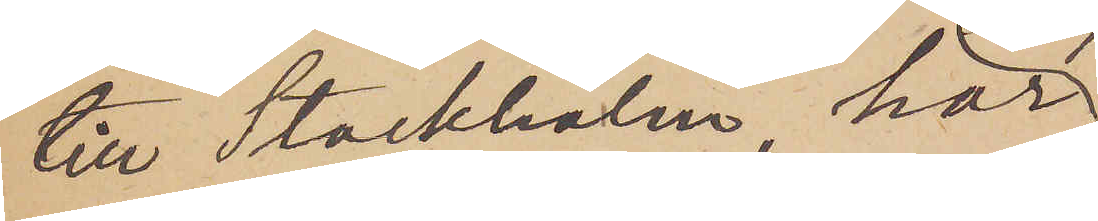till Stockholm, har
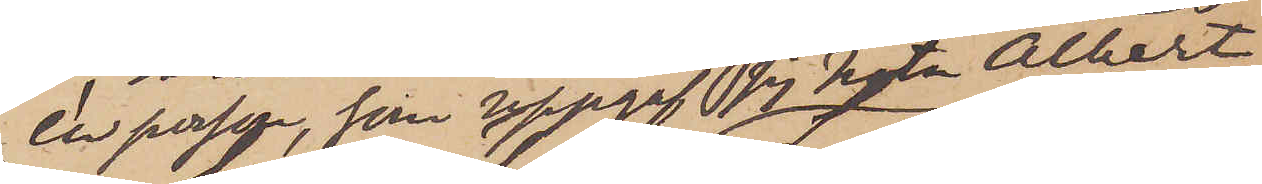en person, som uppgaf sig heta Albert
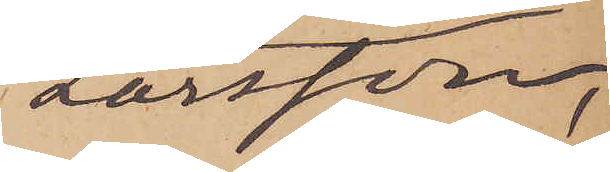Larsson,
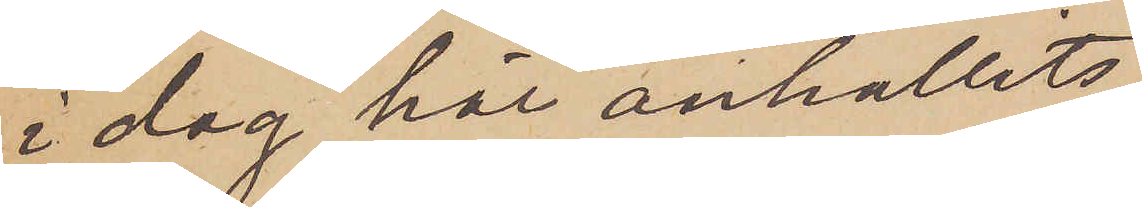i dag här anhållits,
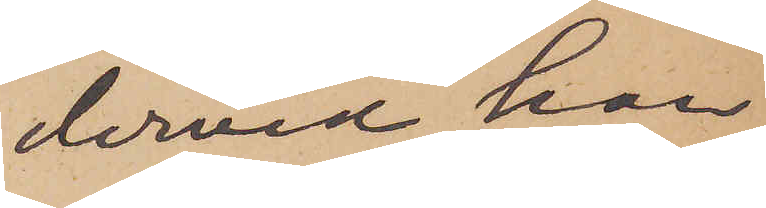dervid han
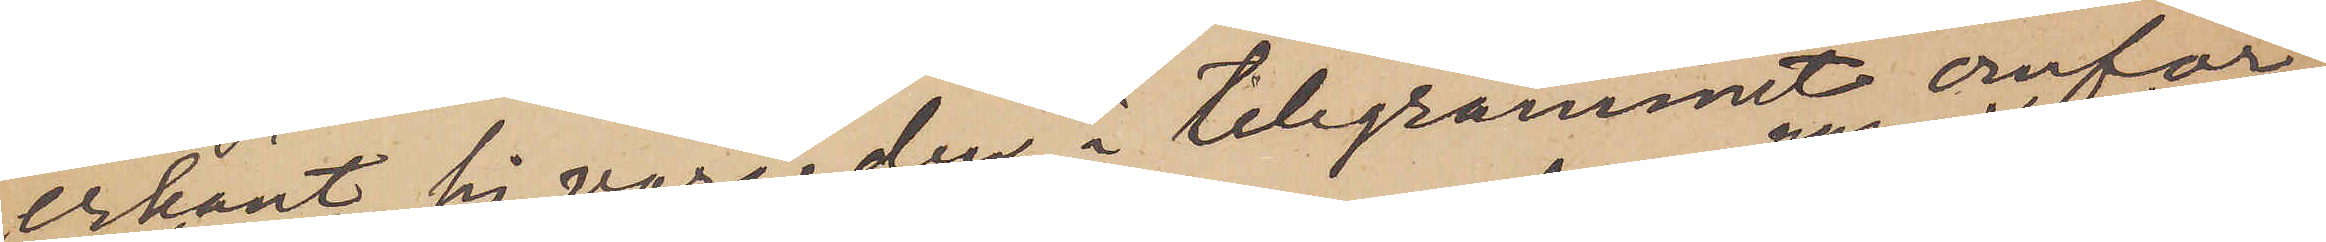erkänt sig vara den i telegrammet omför¬
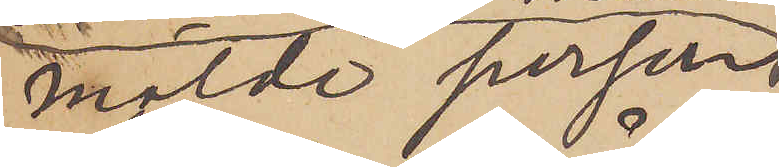mälde person
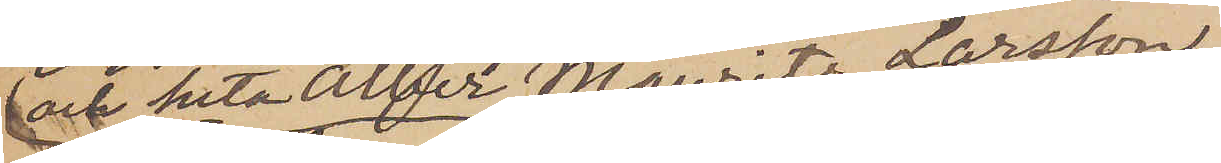 och heta Albert Mauritz Larsson,
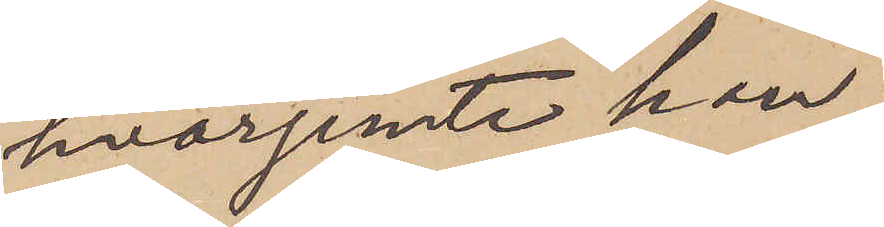hvarjemte han
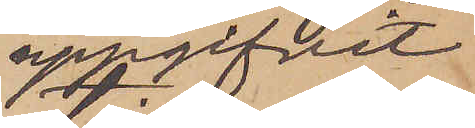uppgifvit
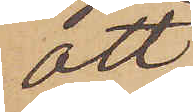att
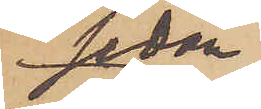sedan
